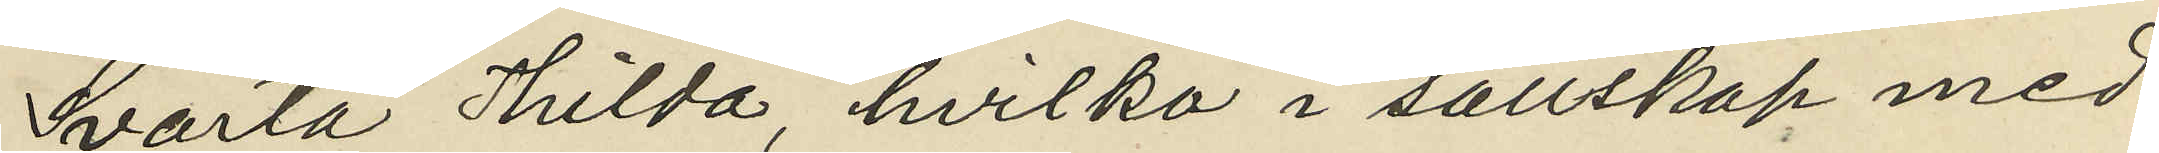"Svarta Hilda", hvilka i sällskap med
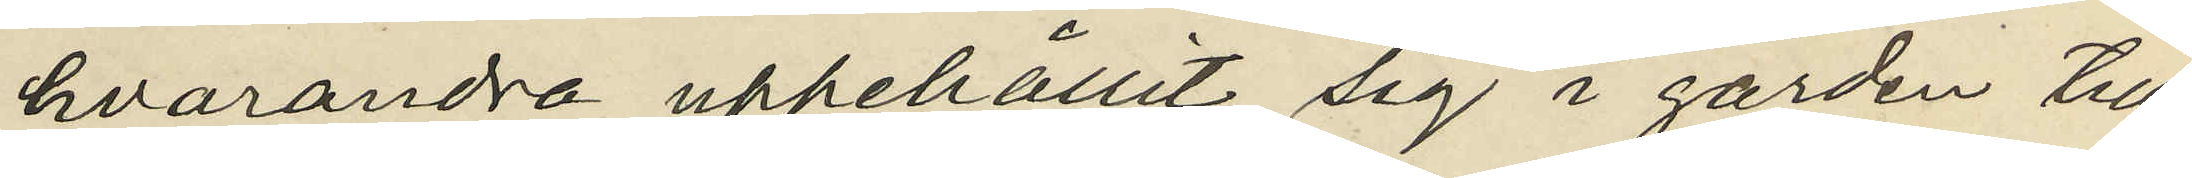hvarandra uppehållit sig i gården till
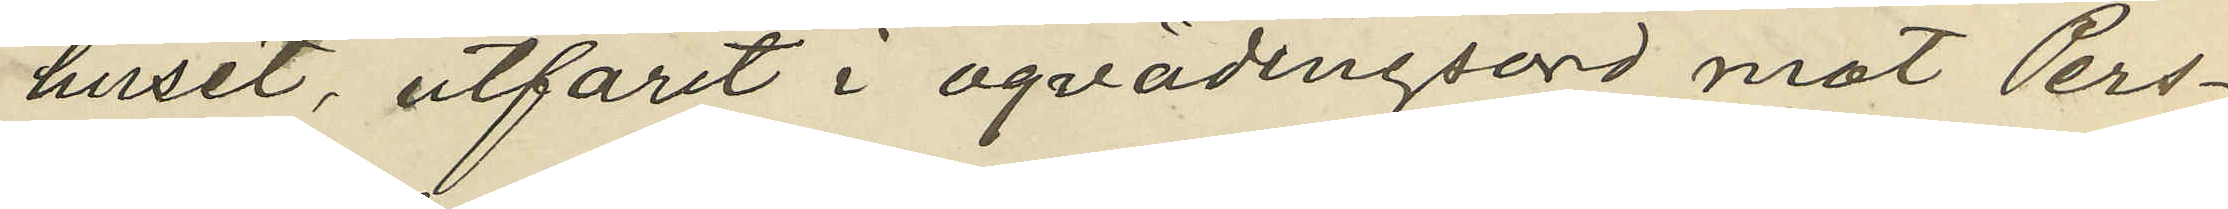huset, utfarit i oqvädingsord mot Pers¬
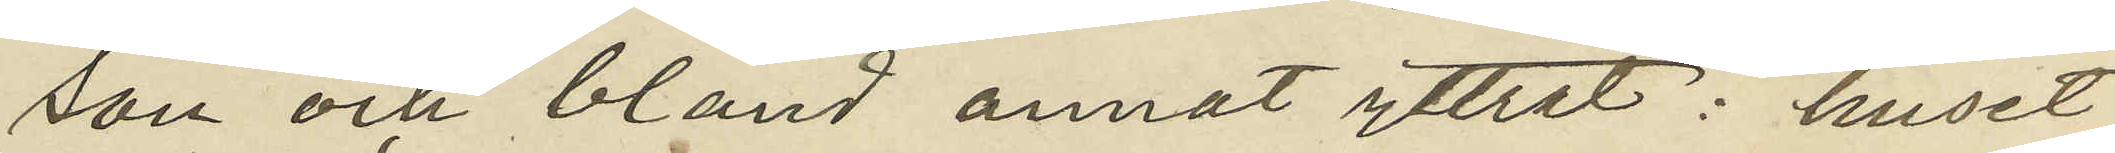son och bland annat yttrat: "huset
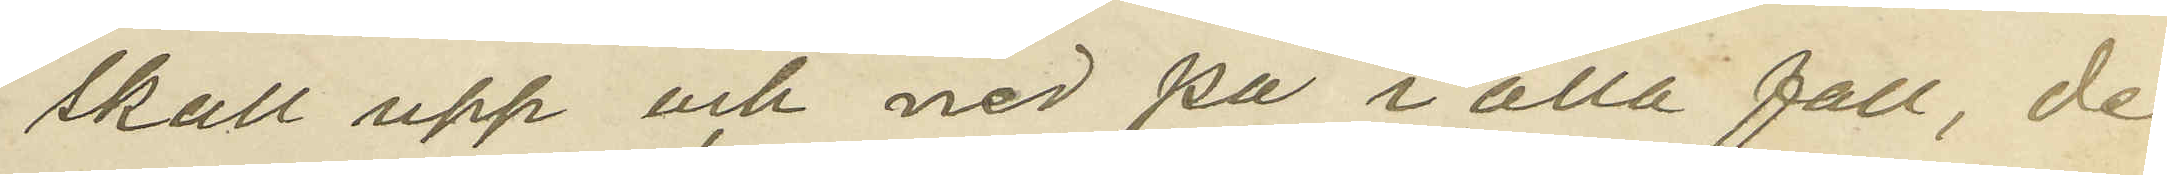skall upp och ned på i alla fall, de
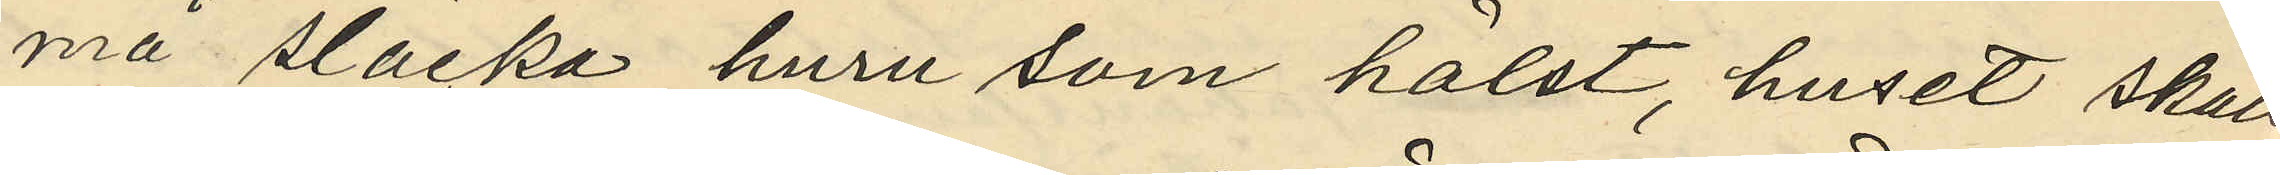må släcka huru som hälst, huset skall
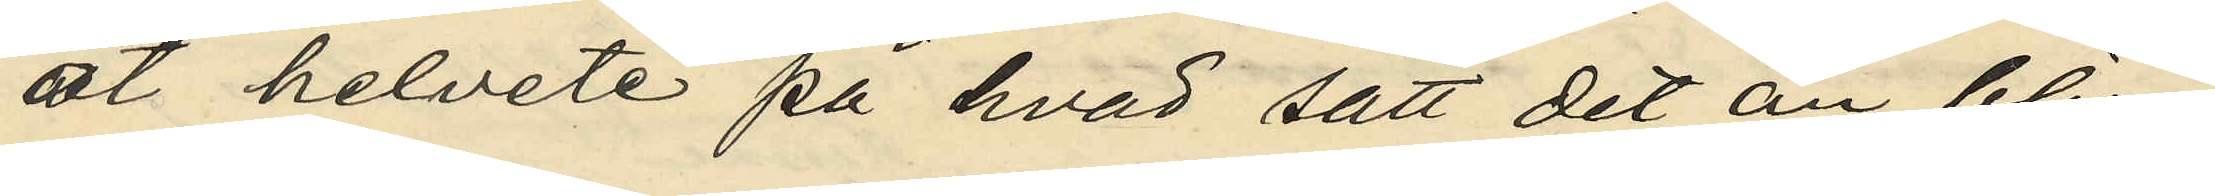åt helvete på hvad sätt det än blir";
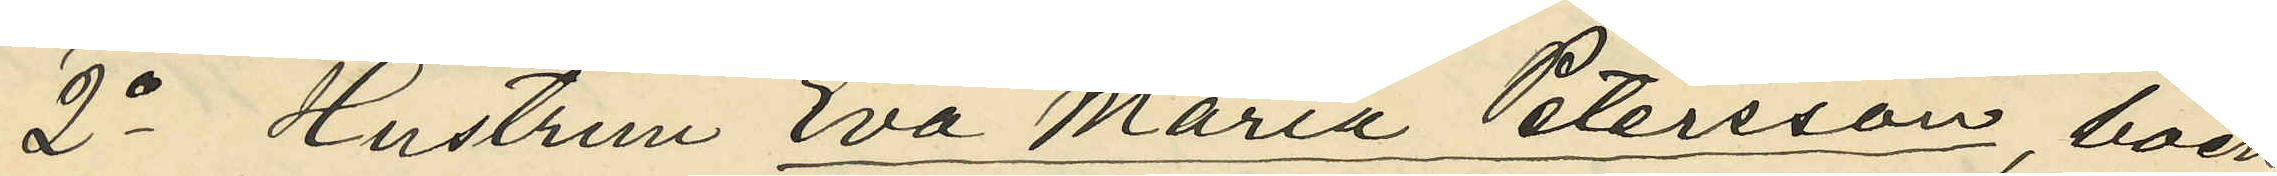2o Hustrun Eva Maria Petersson, boen
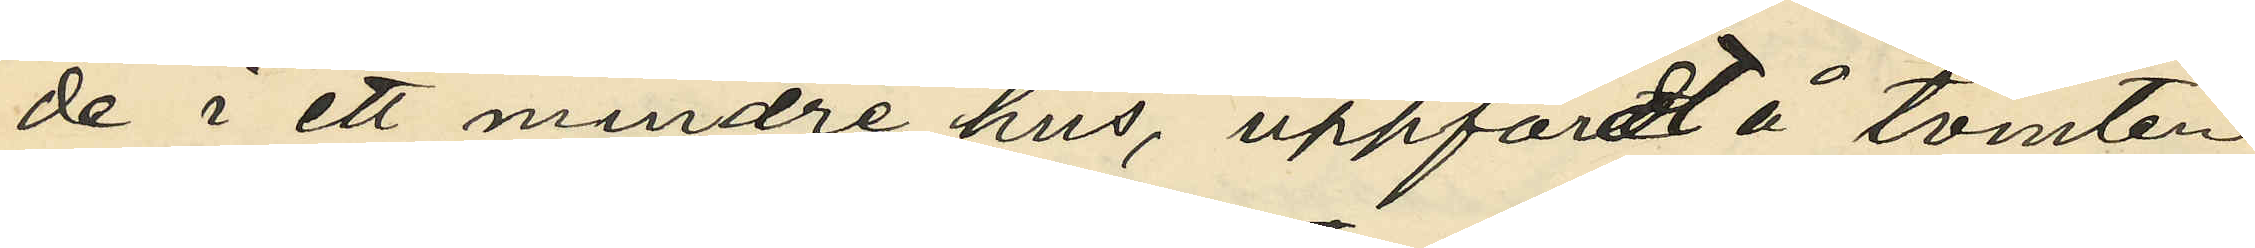de i ett mindre hus, uppfördt å tomten
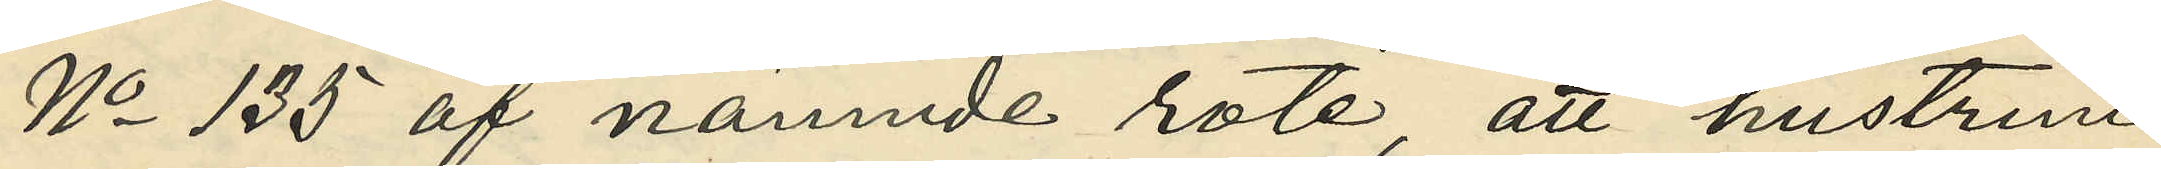No 135 af nämnde rote, att hustrun
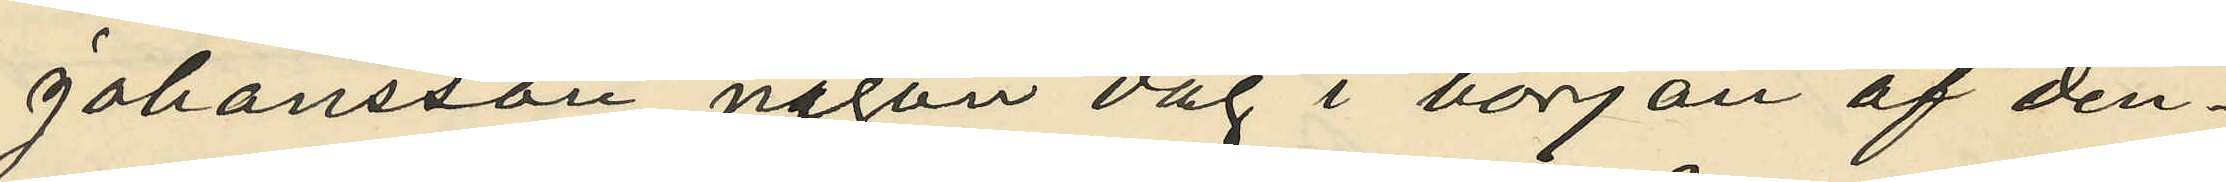Johansson någon dag i början af den¬
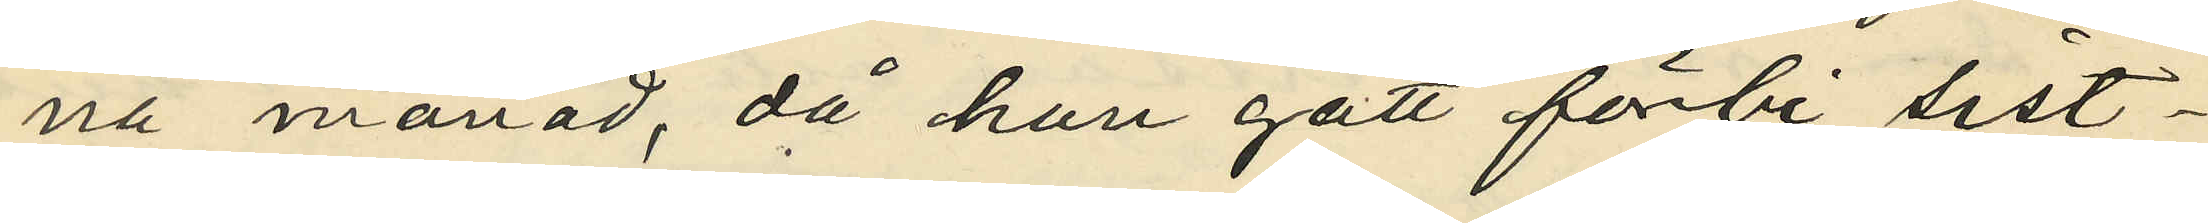na månad, då hon gått förbi sist¬
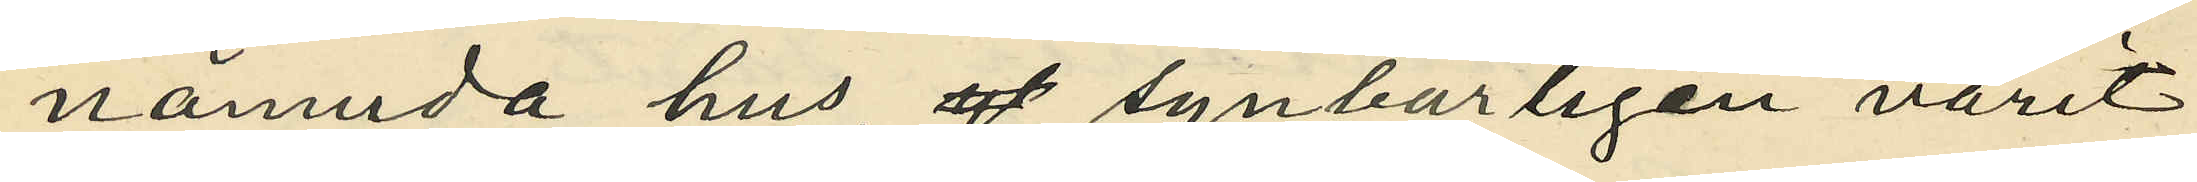nämnda hus, synbarligen varit
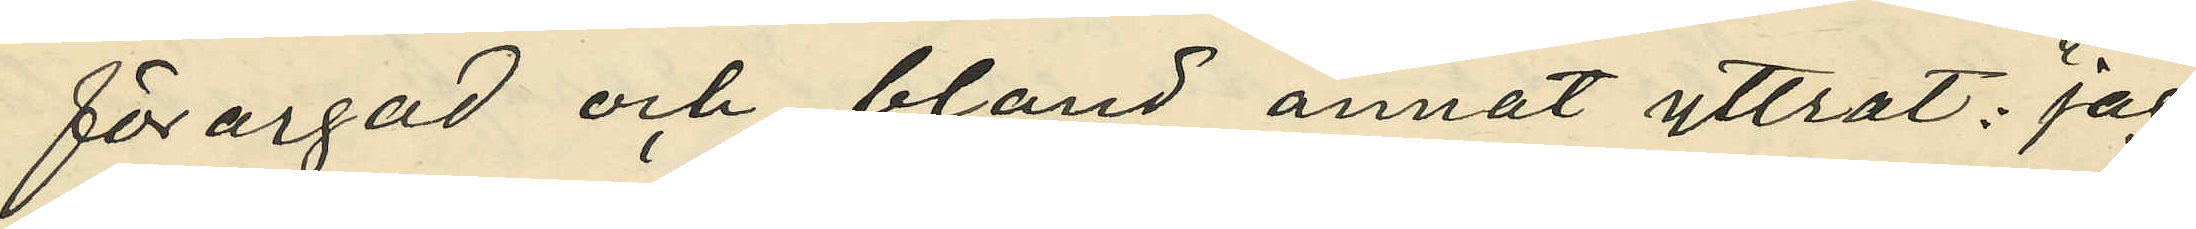förargad och bland annat yttrat: "jag
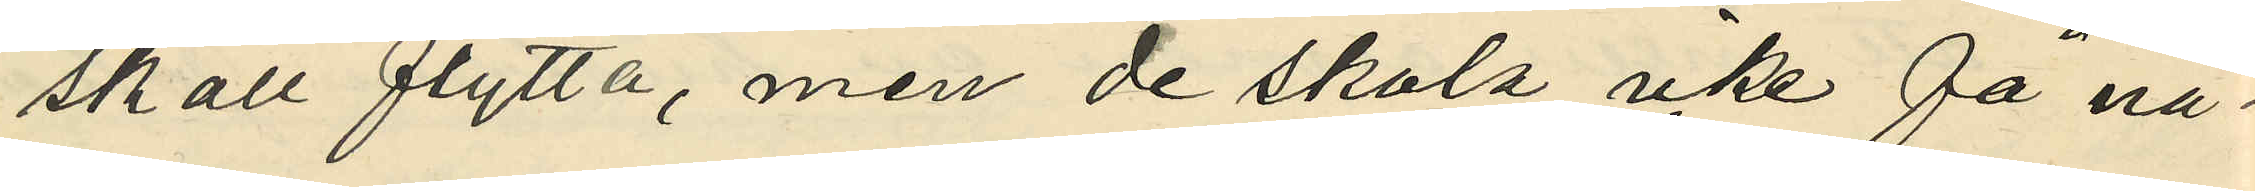skall flytta, men de skola icke få nå¬
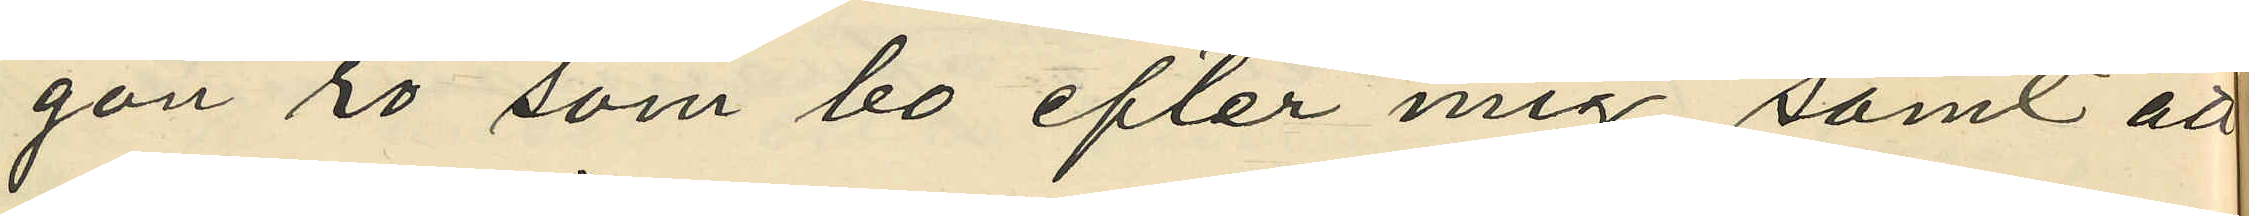gon ro som bo efter mig", samt att
